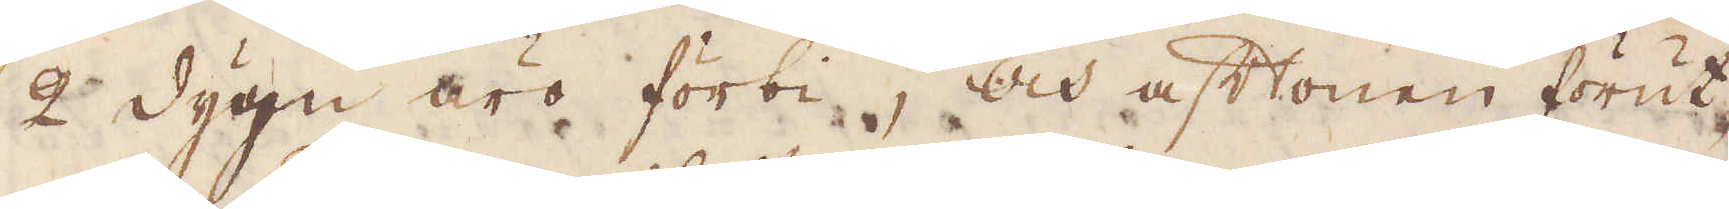2 dygn äro förbi, och aftonen förut
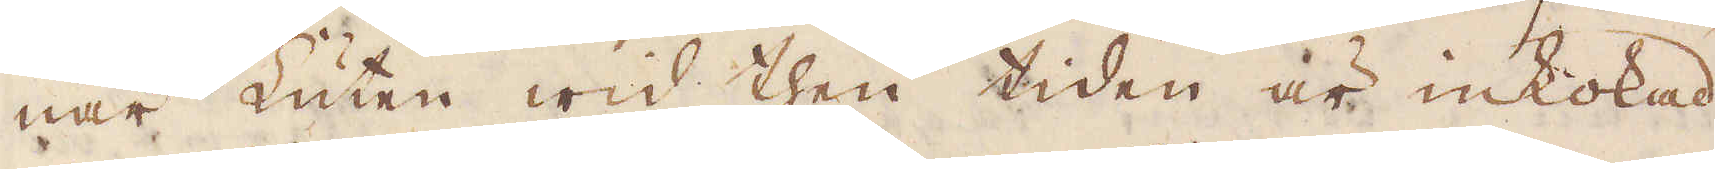när Luten wid then tiden är inkokad
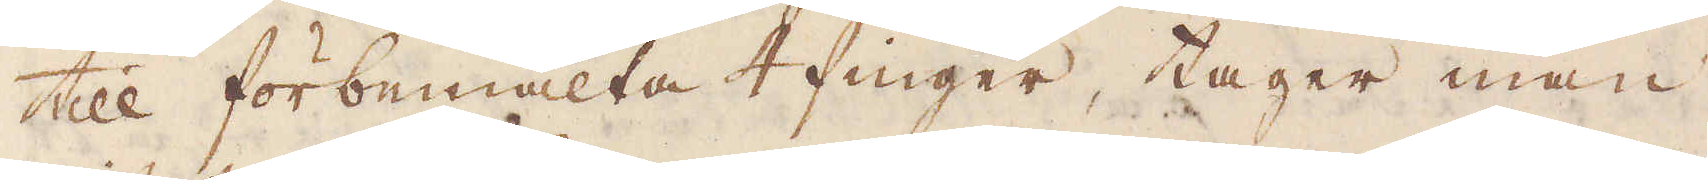till förbemälta 4 finger, tager man
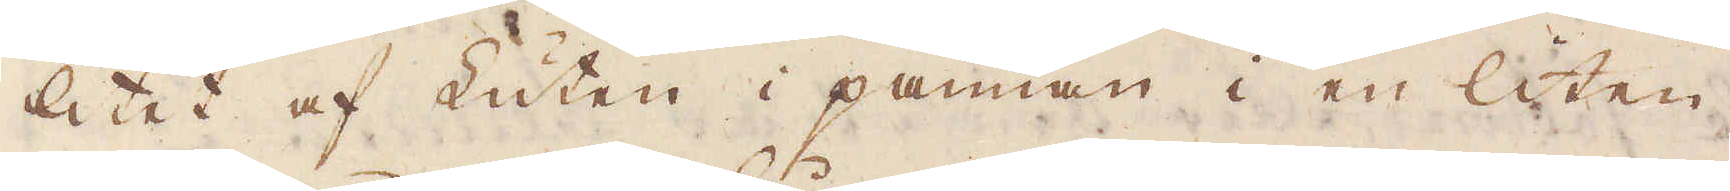litet af Luten i pannan i en liten
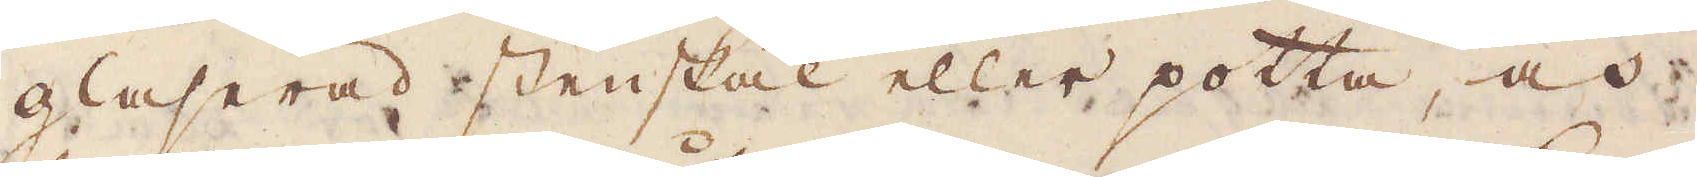glaserad stenskål eller potta, och
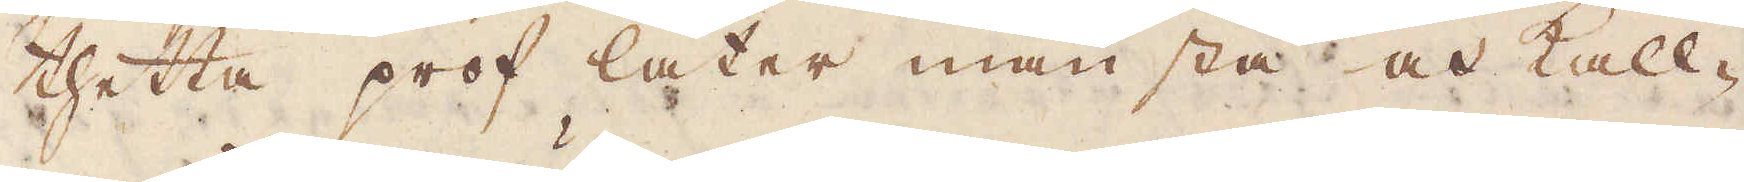thetta prof låter man stå och kall-
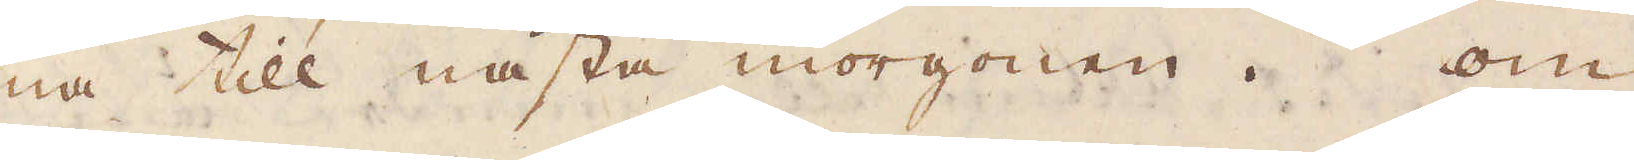na till nästa morgonen. Om
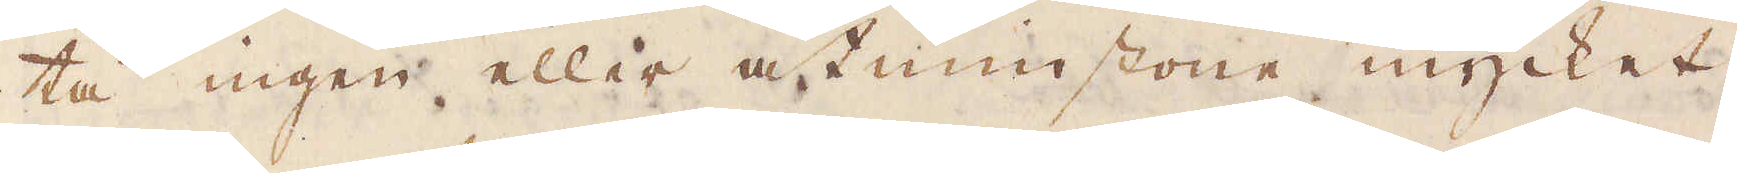tå ingen eller åtminstone mycket
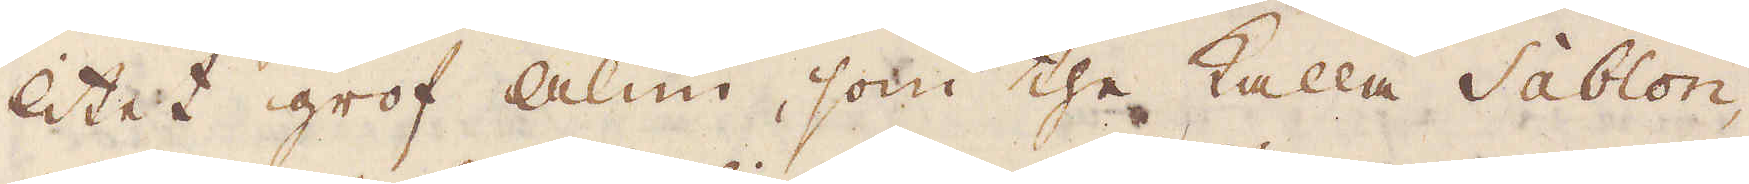litet grof alun, som the kalla Sablon,
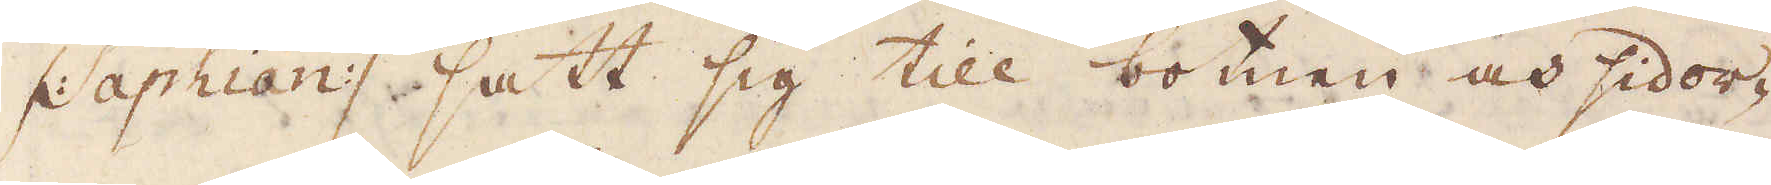/: Saphian :/ satt sig till botnen och sidor-
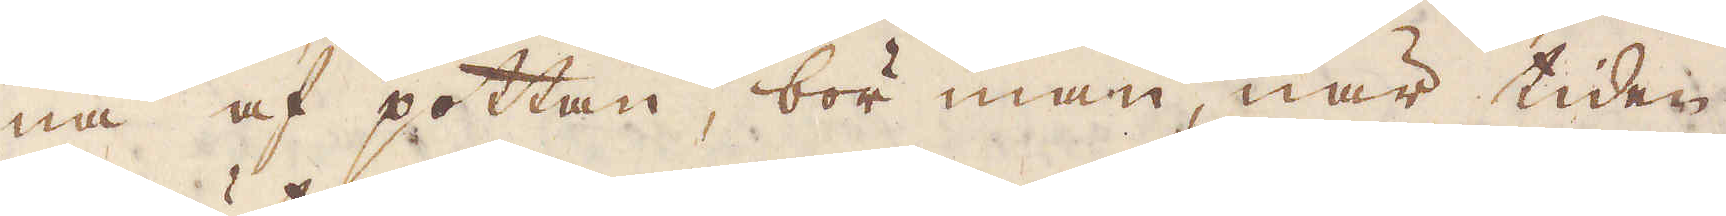na af pottan, bör man, när tiden
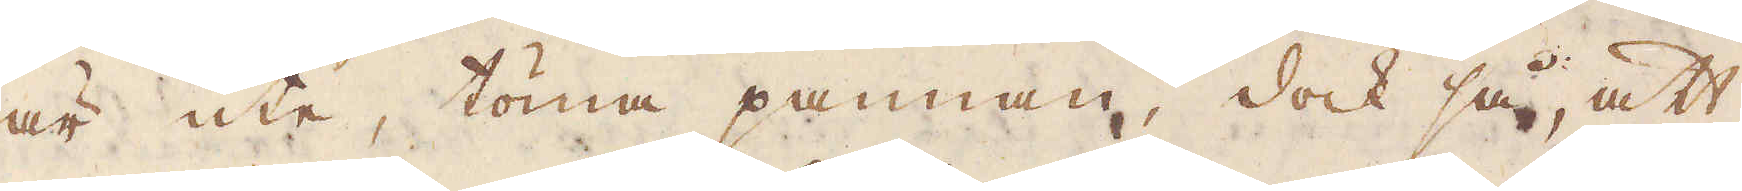är ute, töma pannan, dock så, att
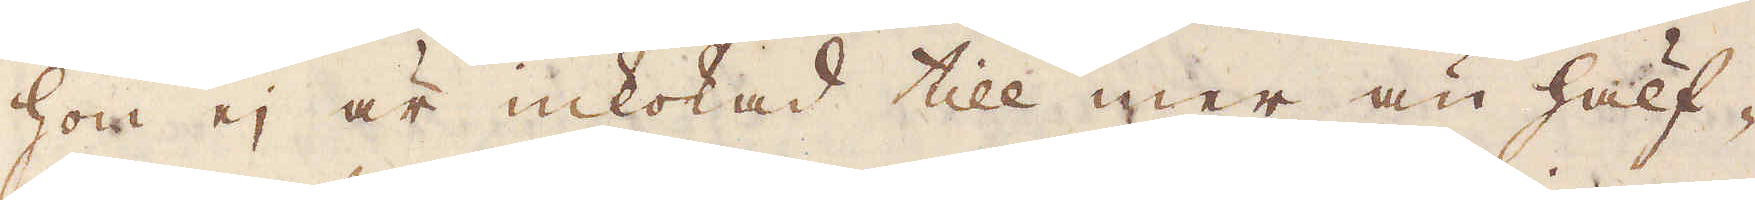hon ej är inkokad till mer än hälf-
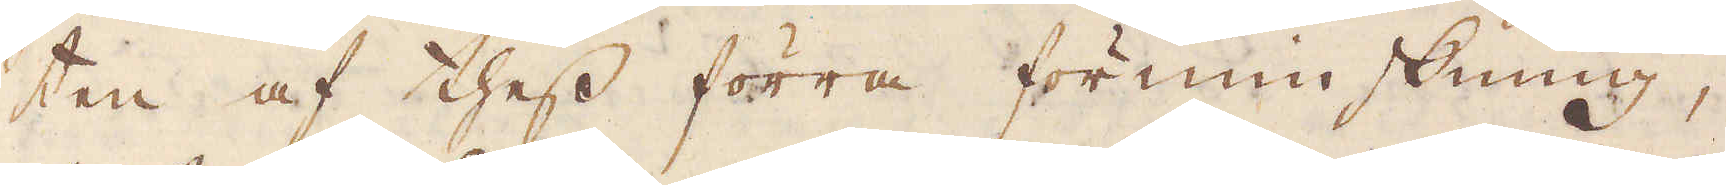ten af thess förra förminskning,
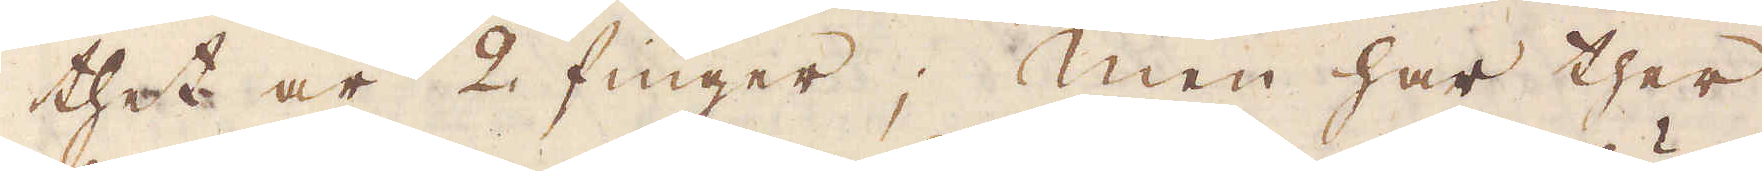thet är 2 finger; Men har ther
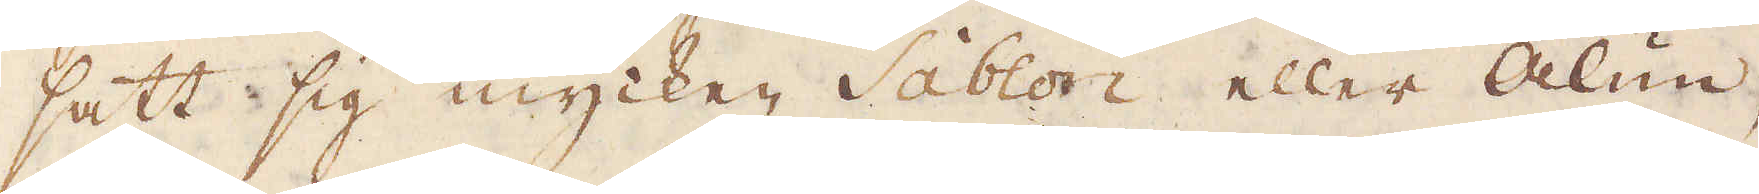satt sig mycken Sablon eller Alun,
